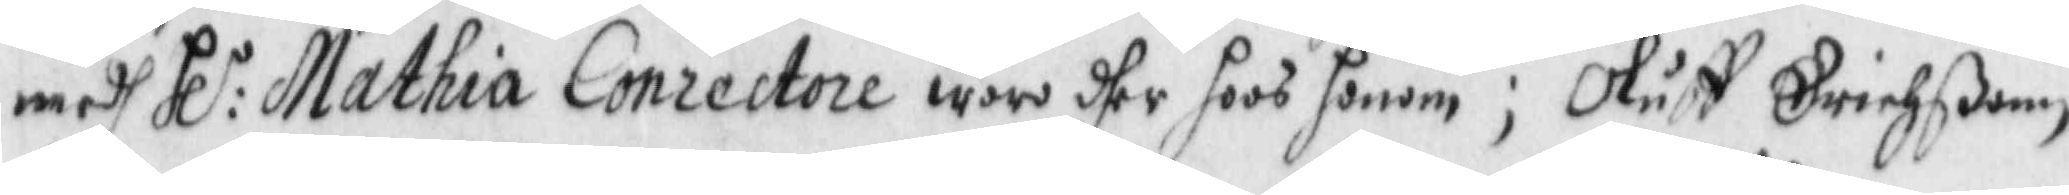med Hl:r Mathia Conrectore wore dher hoos honom; Oluff Erichßonn
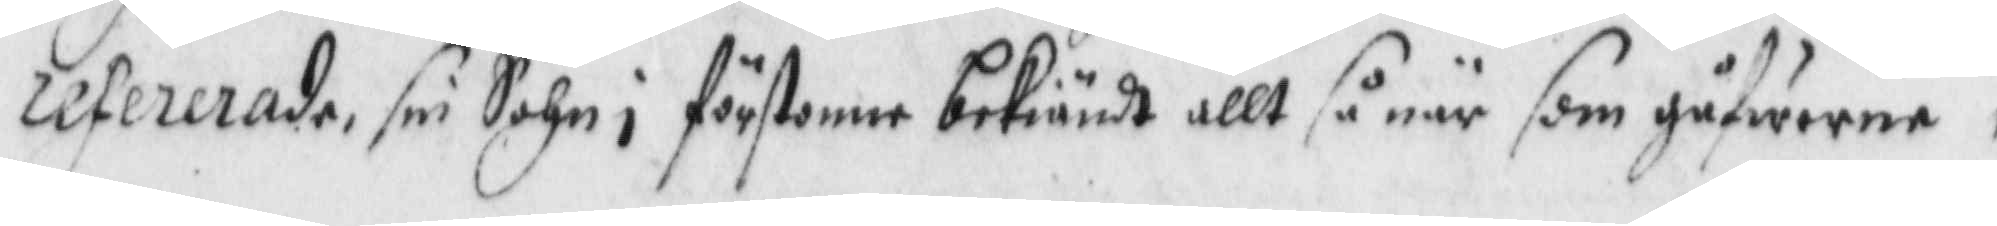refererade, sin Sohn i förstone bekiändt allt så när som gåfworne
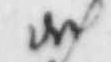och
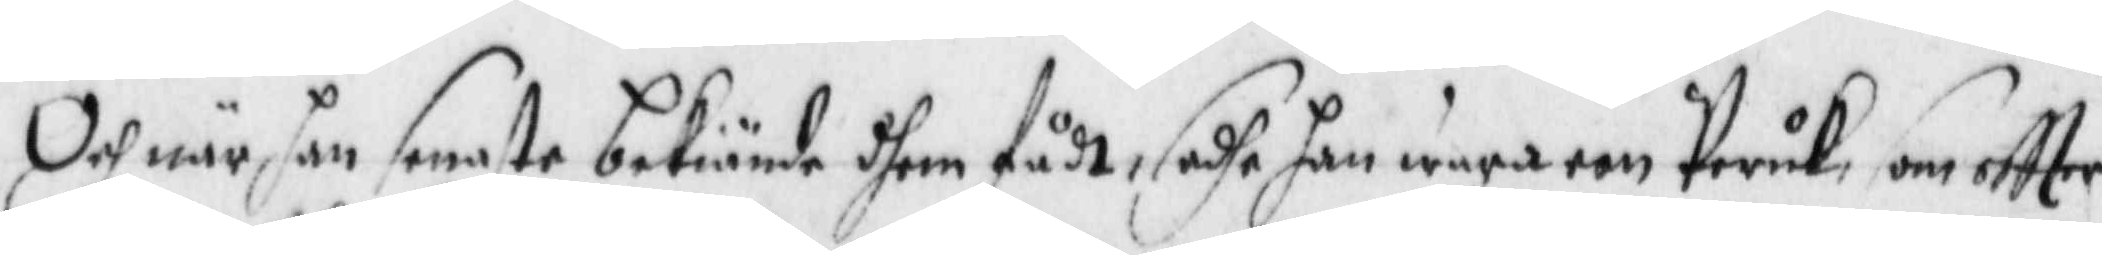Och när han senaste bekinde dhem fådt, sadhe han wara een Peruk som eftter
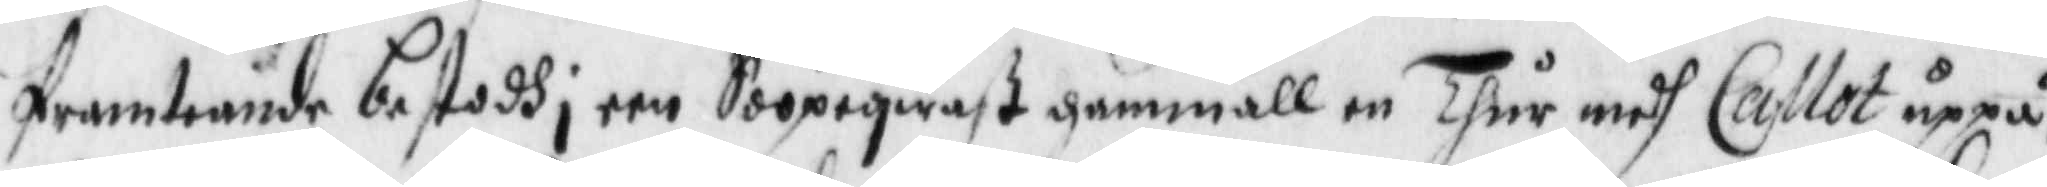framteånde bestodh i een Soopeqwast gammall en Thur medh Callot uppå,
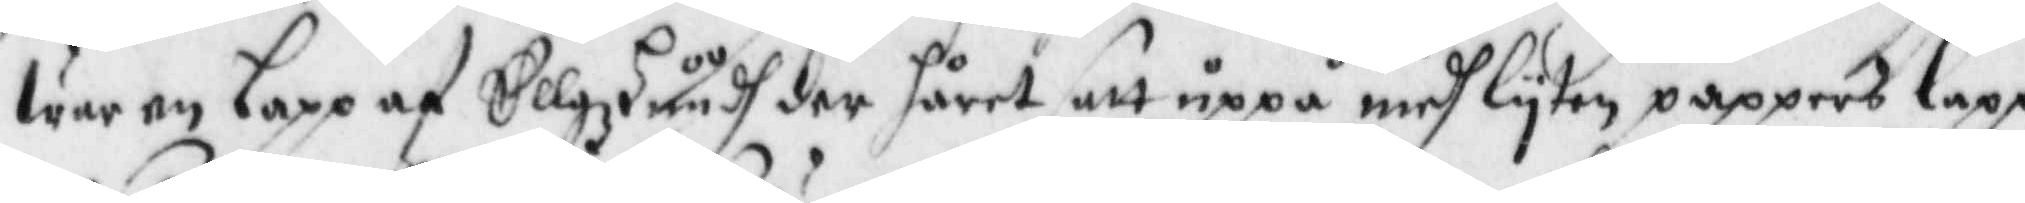war en lapp af Ellgzhuush der hårrt satt uppå medh lyten pappers lapp
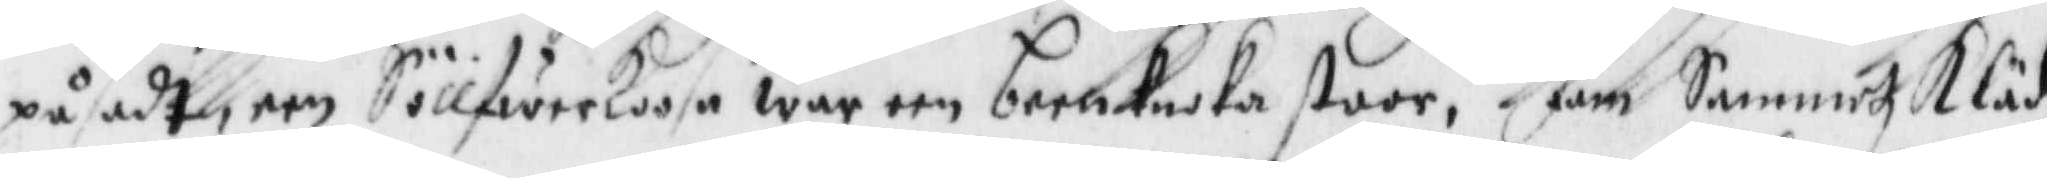påsadt, een SöllferKoosa war een bernkaska stoor, fäm SammetzKläd¬
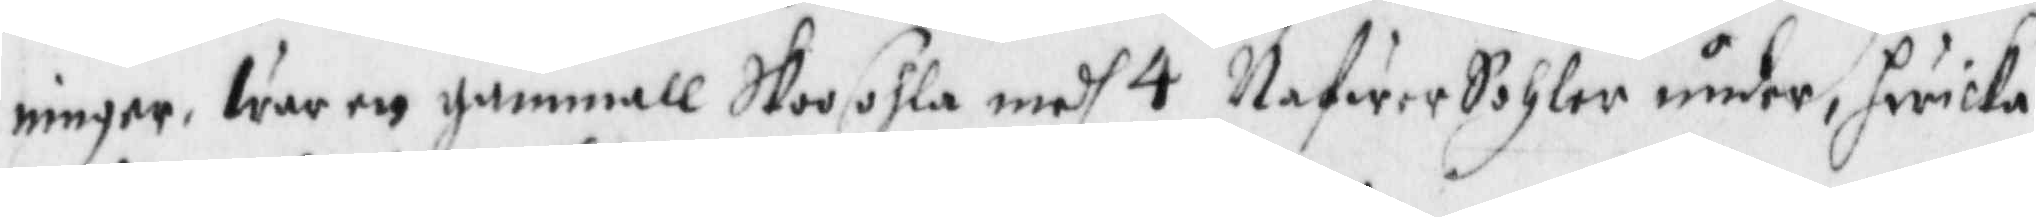ningen, war een gammall Skoosohla medh 4 NafwerSohler under, hwilka
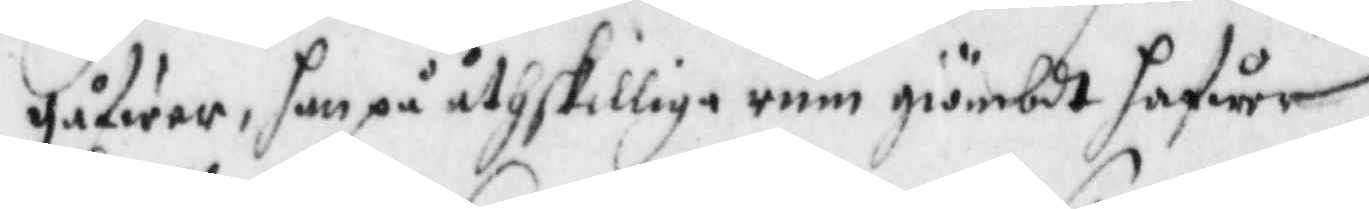gålwer, han på åthskillige rum giömbdt hafwer.
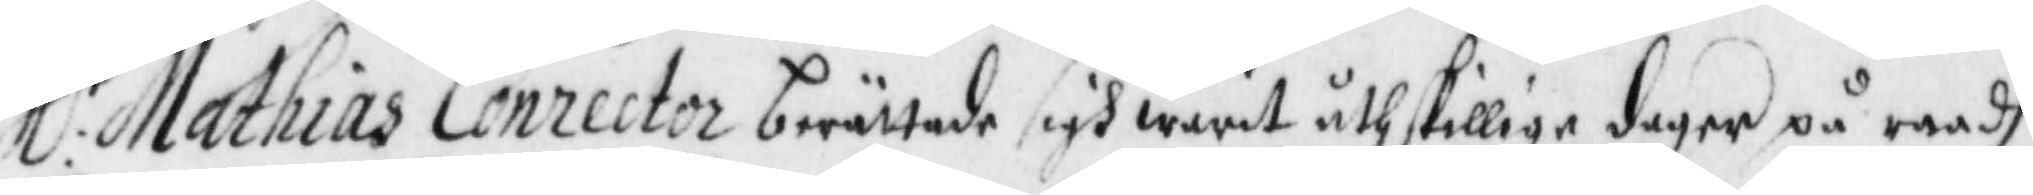Hl:r Mathias Corrector berättade igh warit åthskillige dagar på raadh
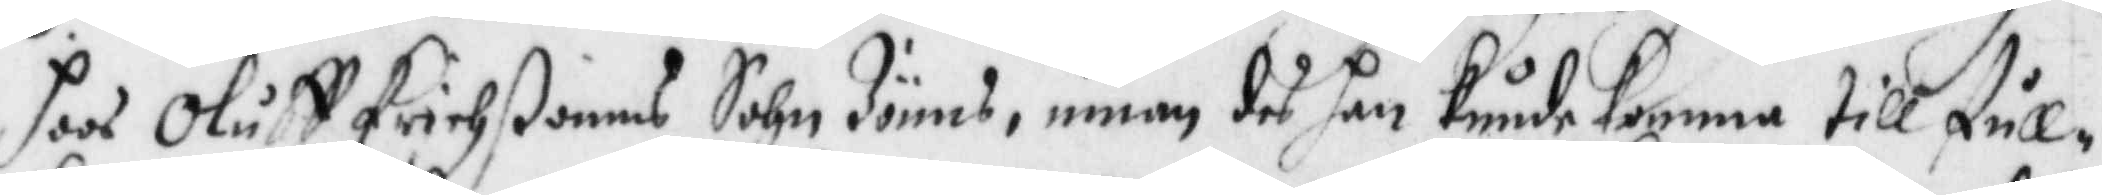hoos Oluff Erichßonns Sohn Jönns, innan des han kunde komma till full¬
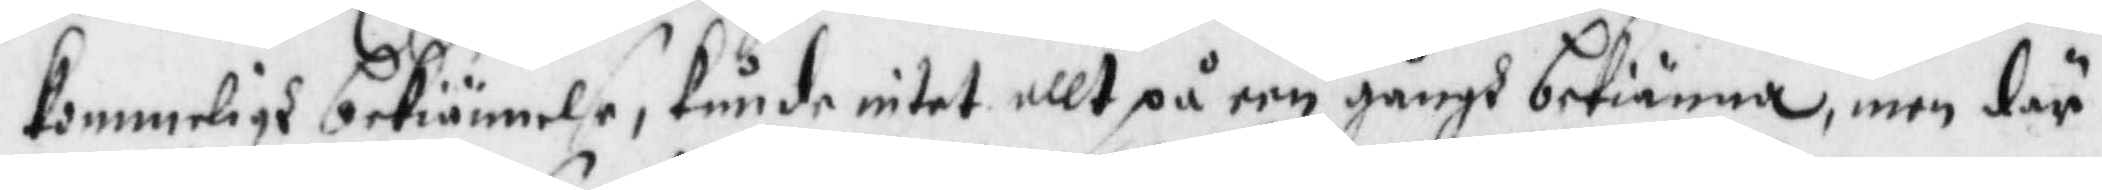kommeligh bekiännelse, kunde intet allt på een gångh bekiännaa, men där
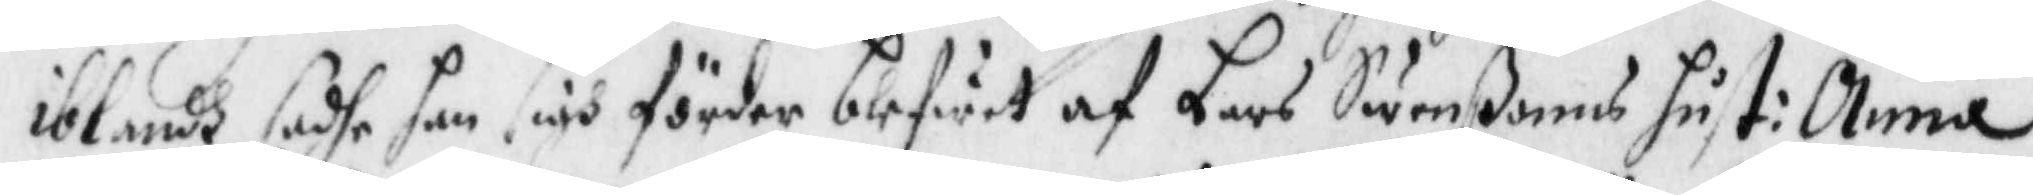ibland sadhe han sigh förder blifwit af Lars Swenßons hust: Anna,
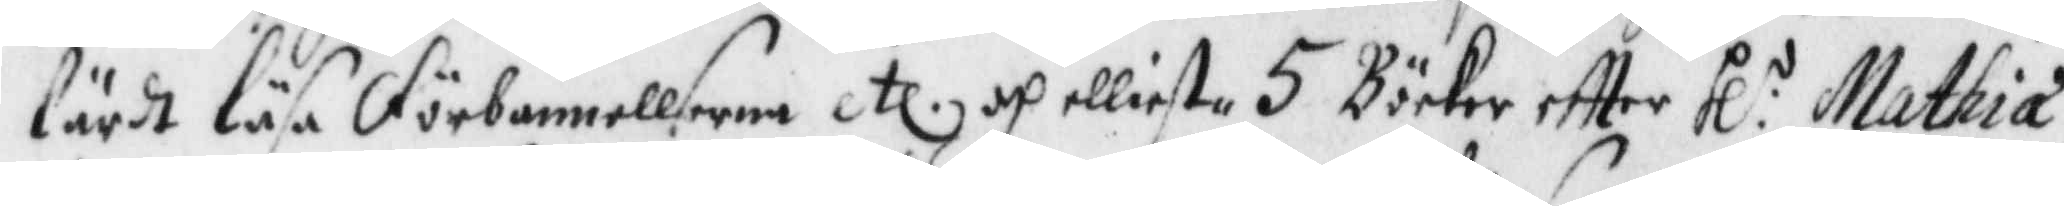lärdt läsa förbannellserna etc. och elliest 5 Böcker eftter Hl:r Mathia
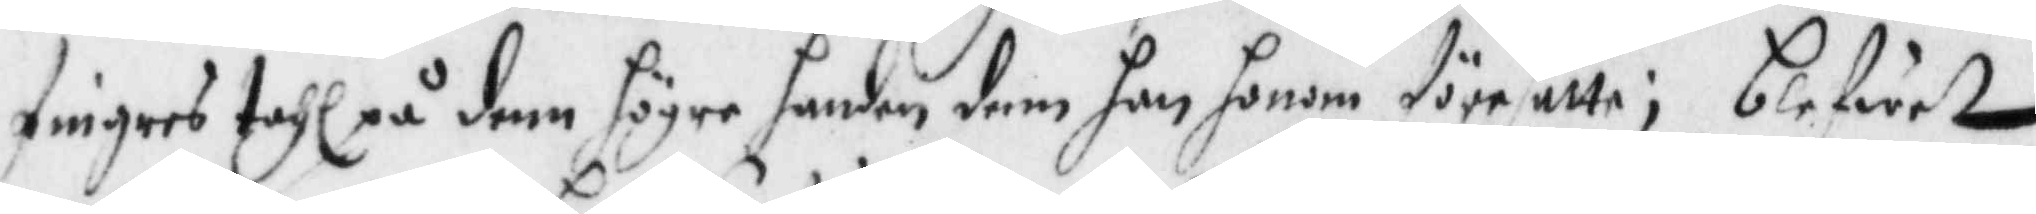fingers tahl på denn handen dem han honom författa; blefwett
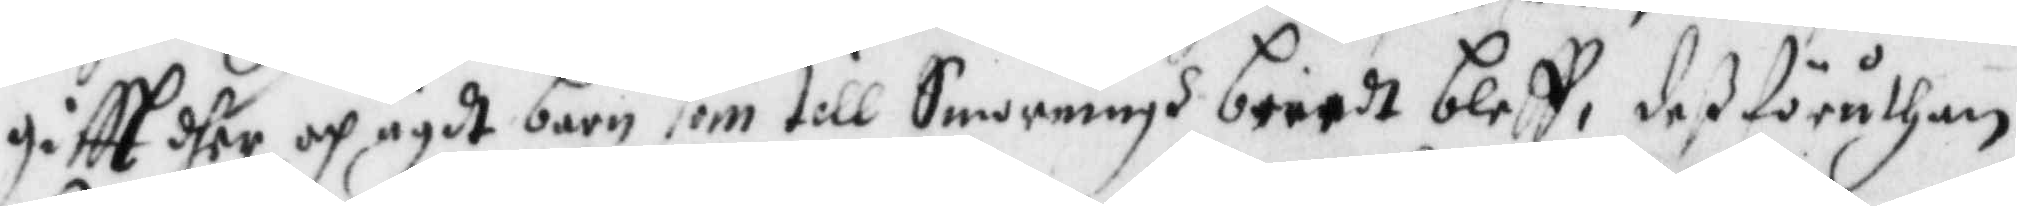giftt dher och ägdt barn som till Smorningh beredt bleff, deß föruthan
